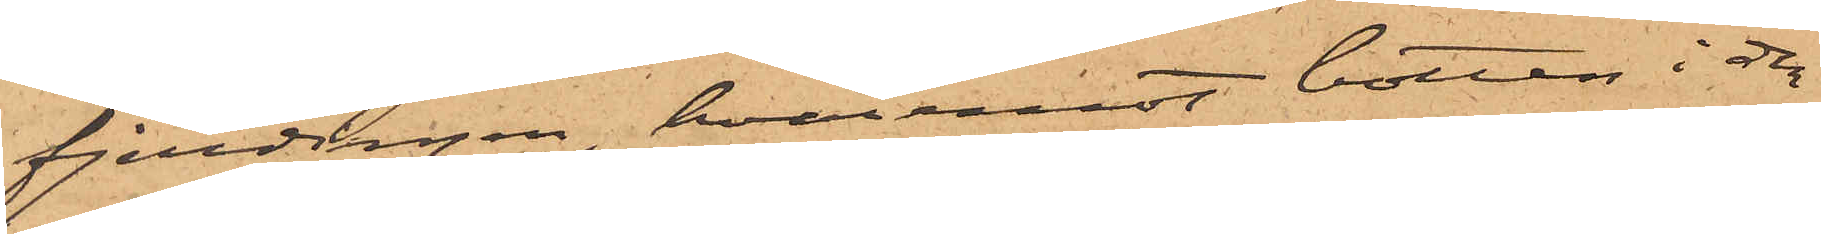fjerdingen, hvaremot botten i den
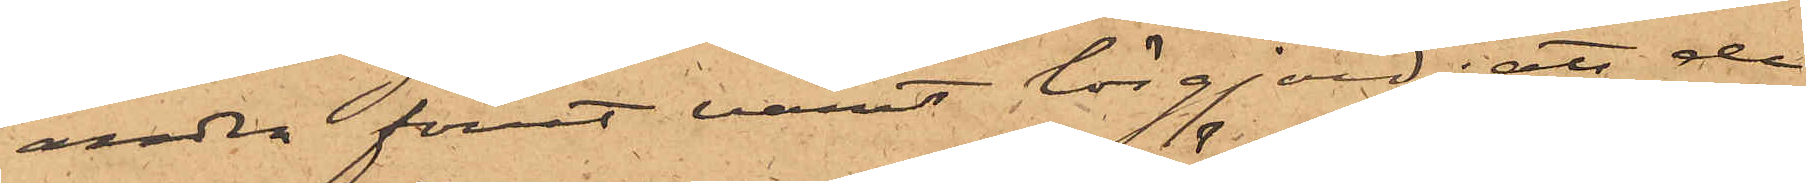andra förut varit lösgjord; att de
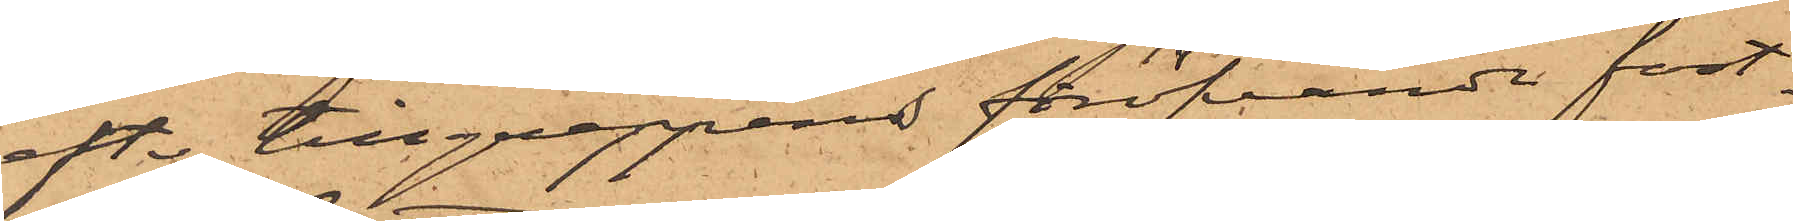efter tillgreppens föröfvande fast¬
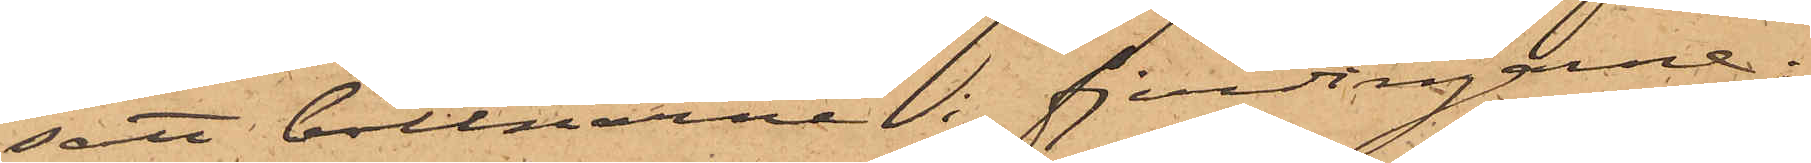satt bottnarne i fjerdingarne;
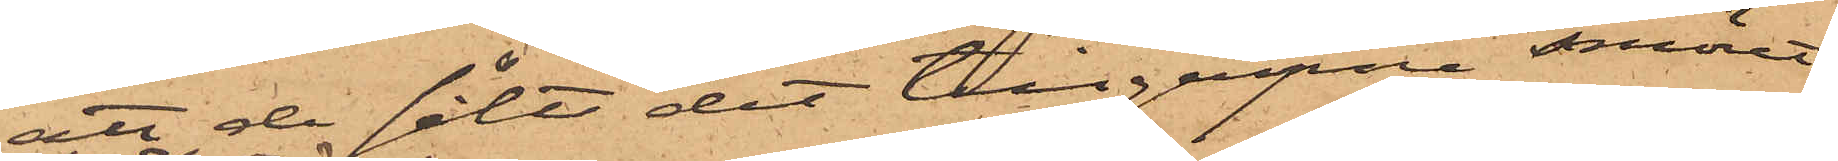att de sålt det tillgripne smöret
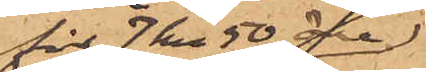för 7 kr 50 öre
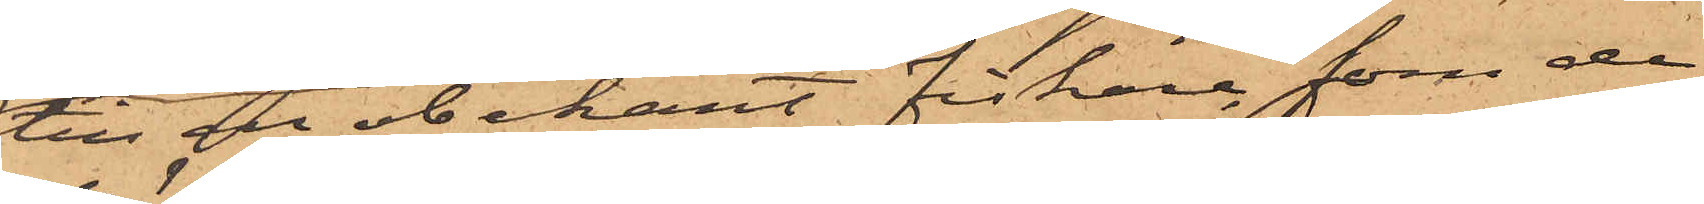till en obekant fiskare, som de
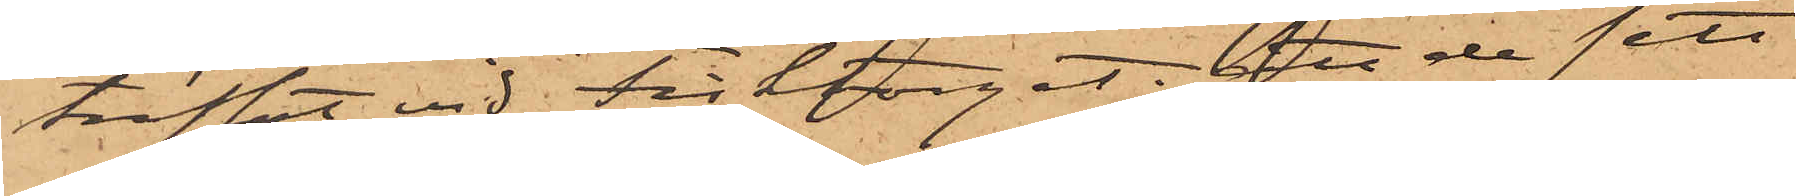träffat vid Fisktorget; att de sett
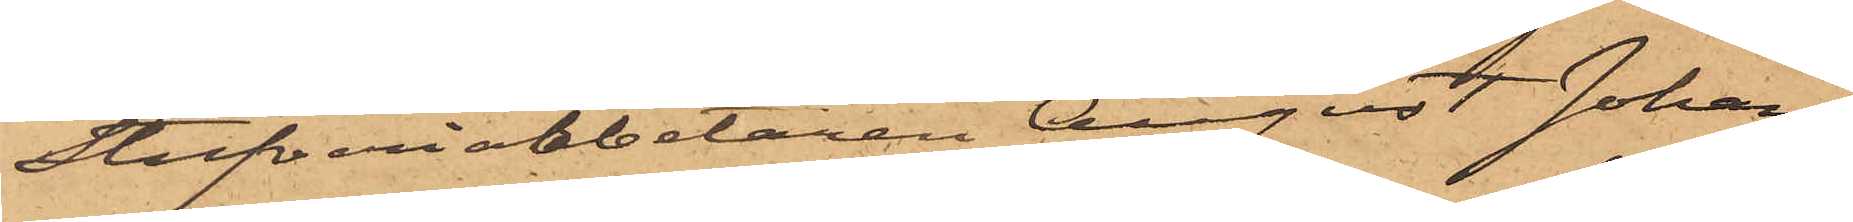Stufveriarbetaren August Johans¬
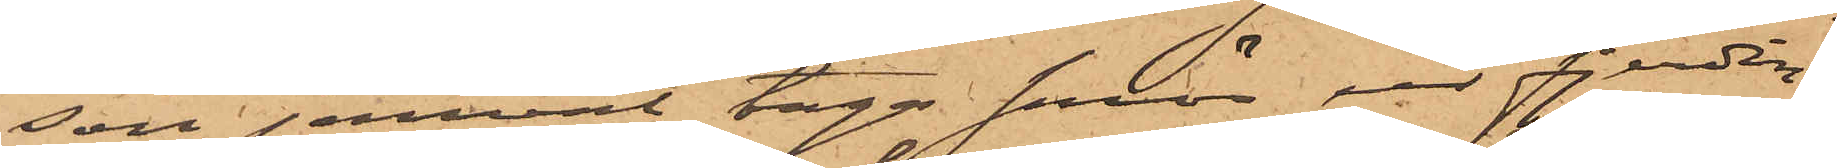son jemväl taga smör ur fjerdin¬
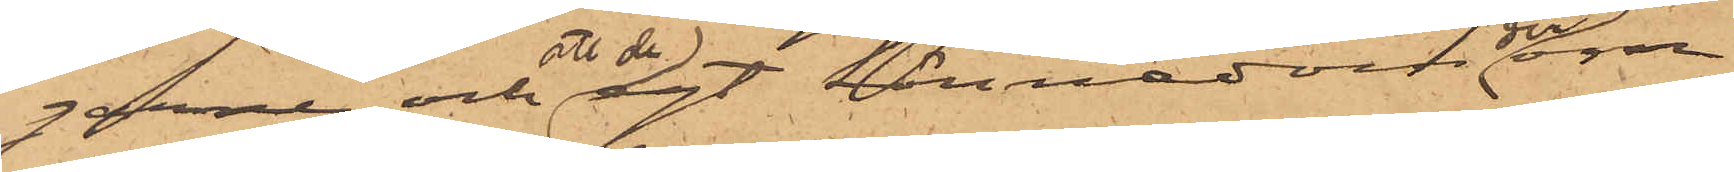garne och att de ägt kännedom derom
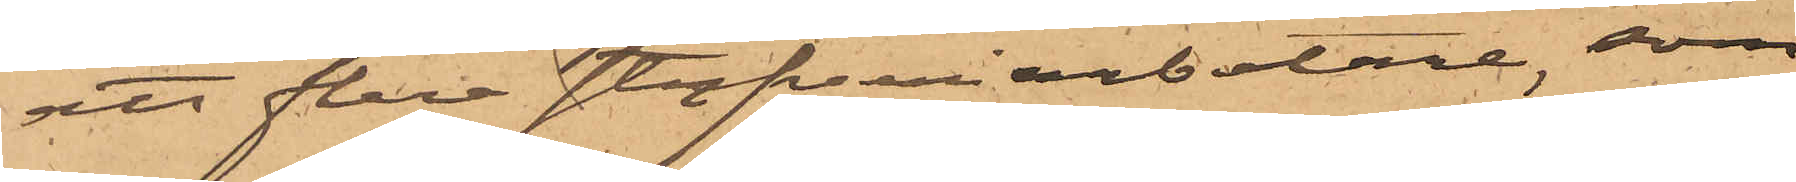att flera stufveriarbetare, som
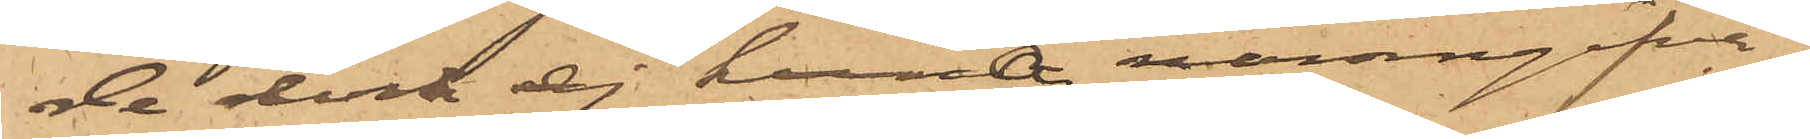de dock ej kunna namngifva,
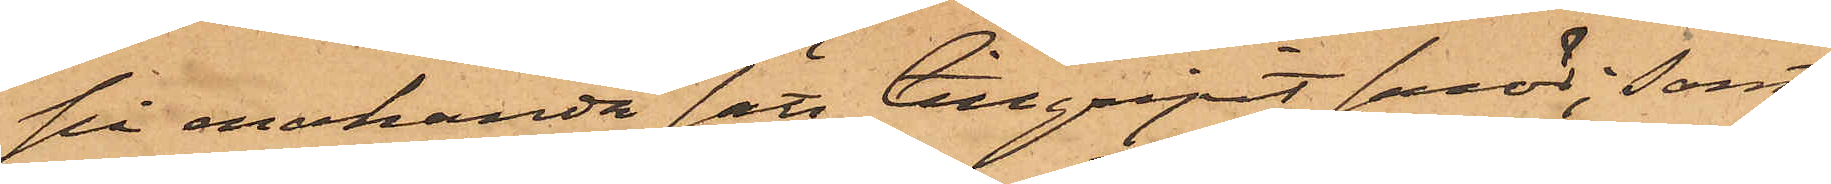på enahanda sätt tillgripit smör; samt
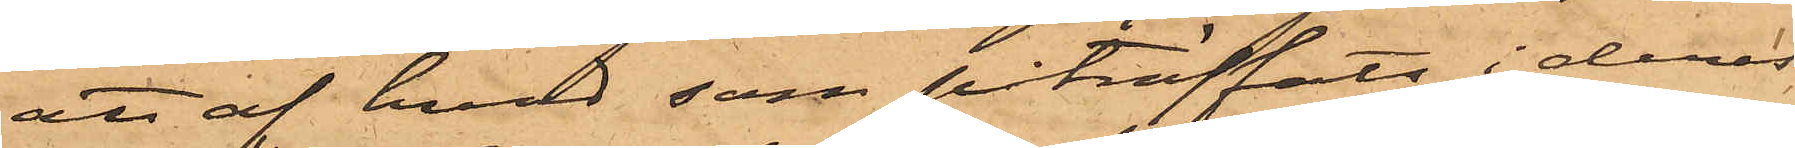att af hvad som påträffats i deras
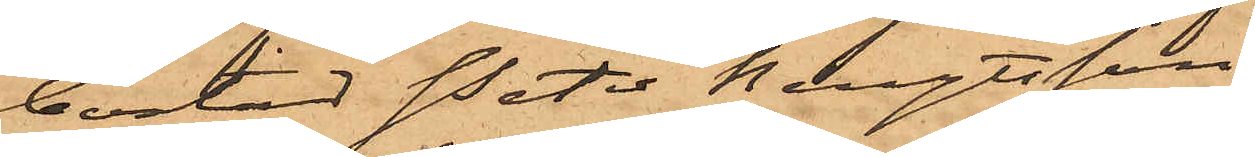bostad Peter Bengtsson
